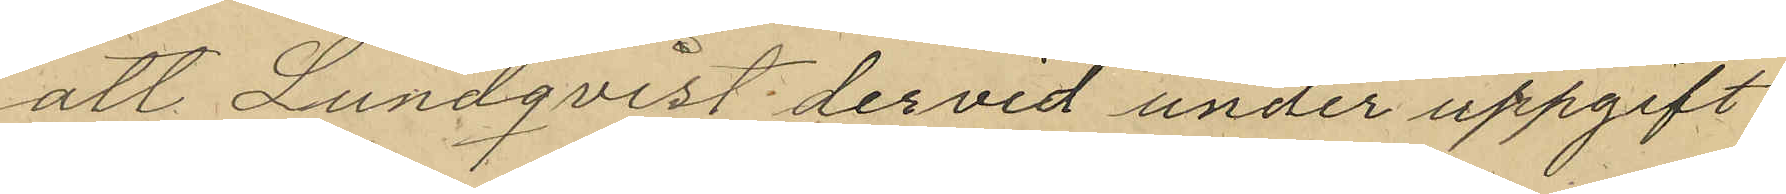att Lundqvist dervid under uppgift
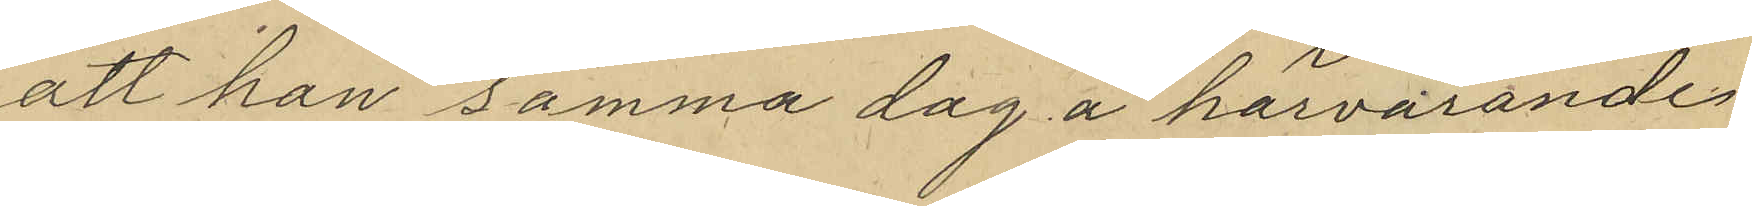att han samma dag å härvarande
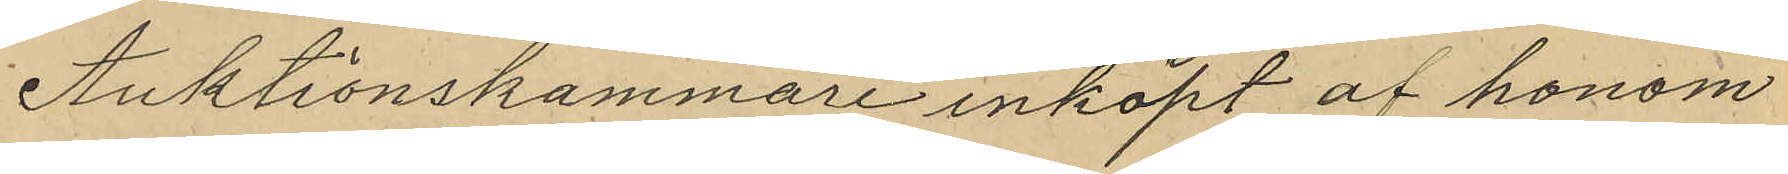Auktionskammare inköpt af honom
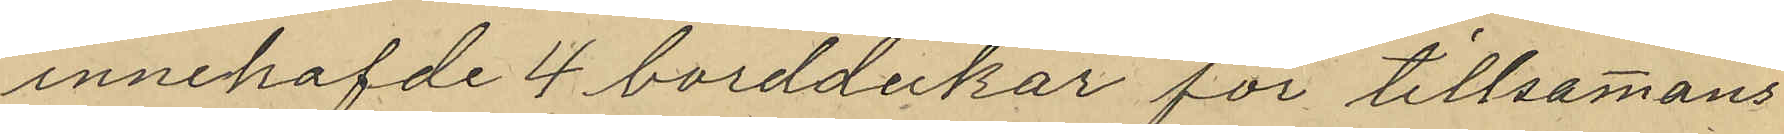innehafde 4 borddukar för tillsammans
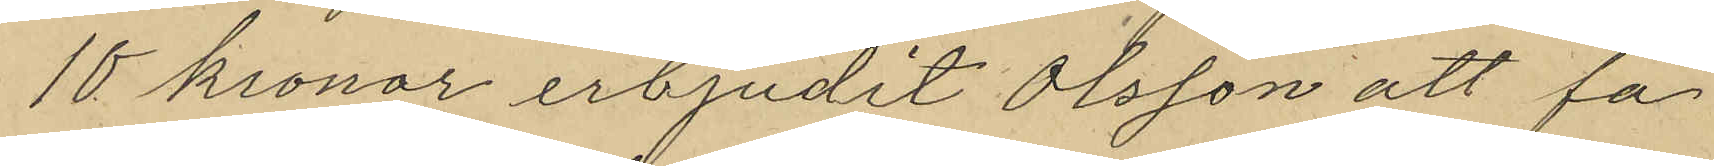10 kronor erbjudit Olsson att få
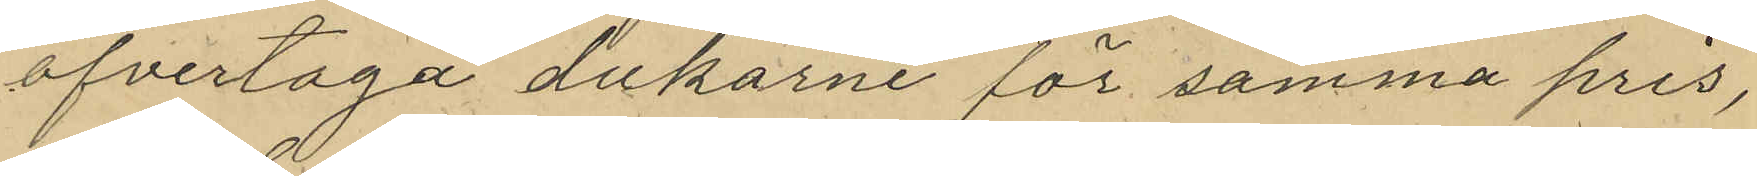öfvertaga dukarne för samma pris,
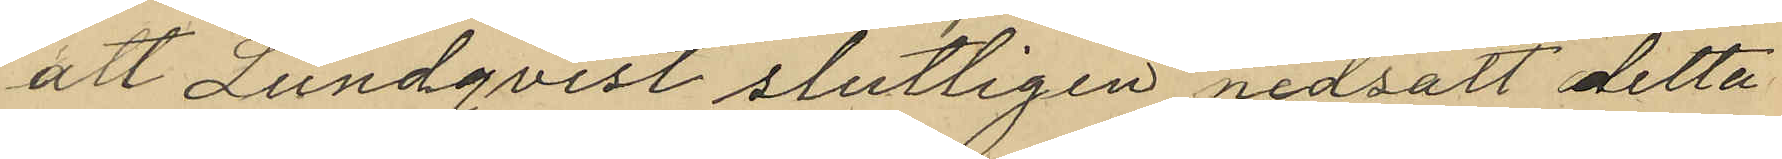att Lundqvist slutligen nedsatt detta
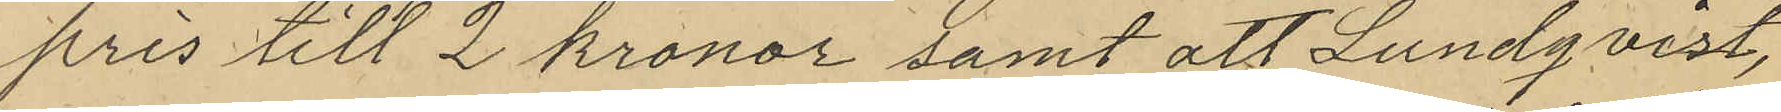pris till 2 kronor samt att Lundqvist,
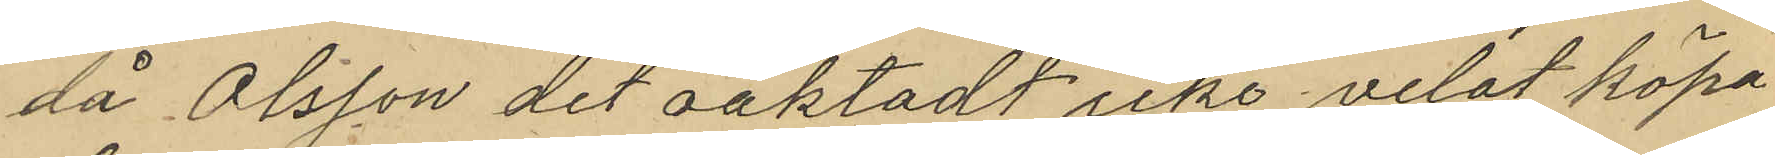då Olsson det oaktadt icke velat köpa
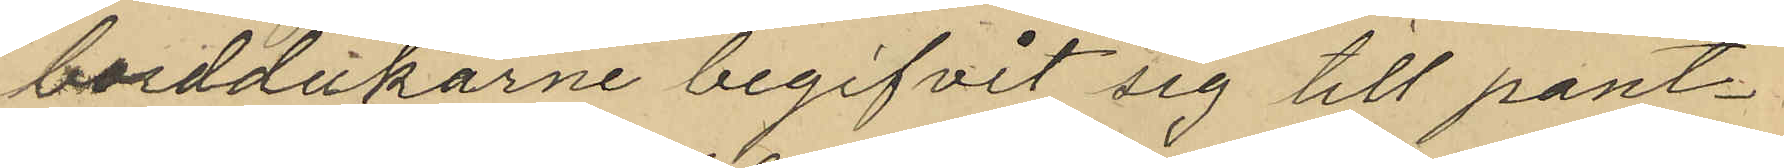borddukarne begifvit sig till pant¬
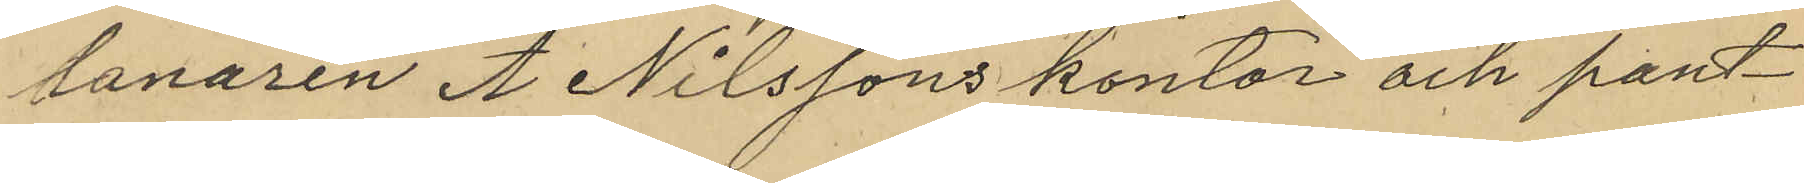lanaren A Nilssons kontor och pant¬
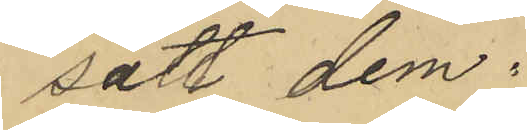satt dem.
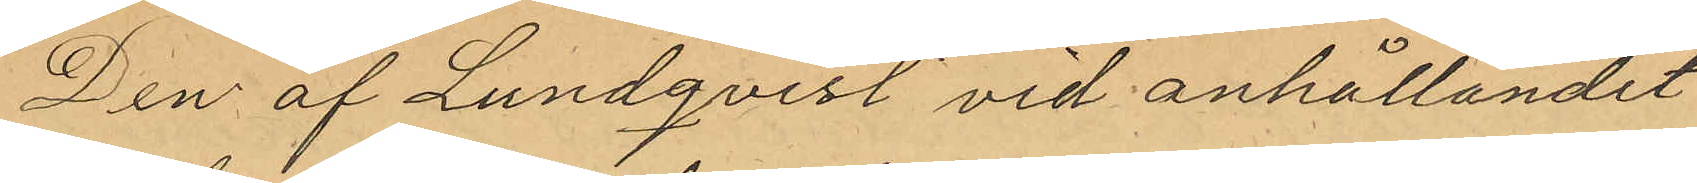Den af Lundqvist vid anhållandet
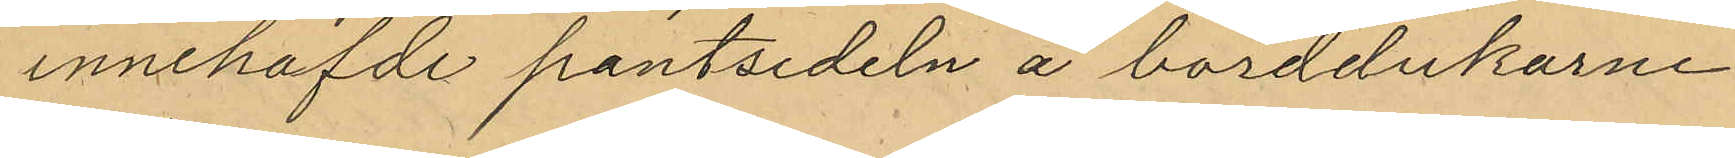innehafde pantsedeln å borddukarne
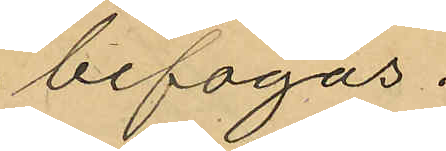bifogas.
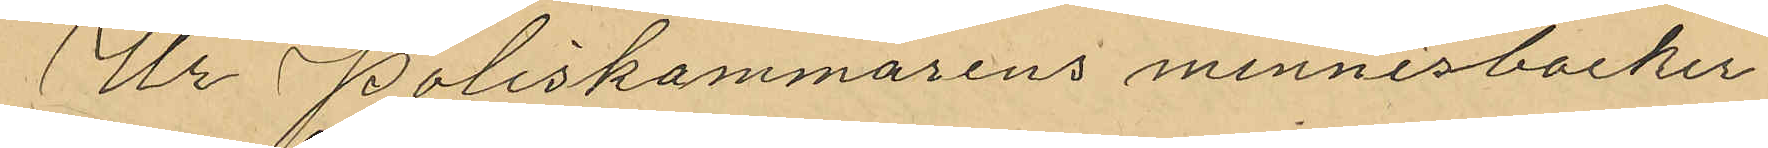Ur Poliskammarens minnesbocker
